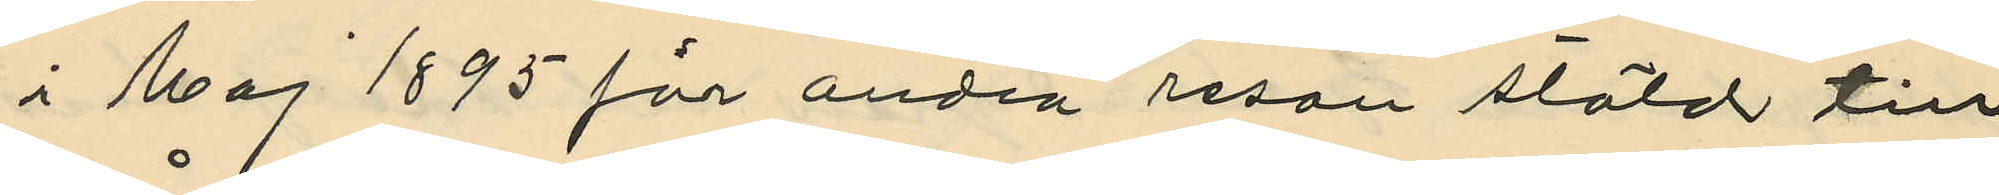i Maj 1895 för andra resan stöld till
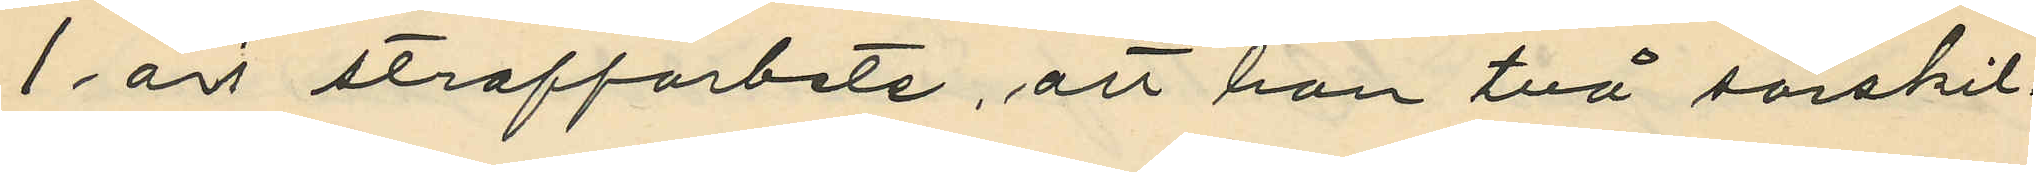1 års straffarbete, att han två särskil¬
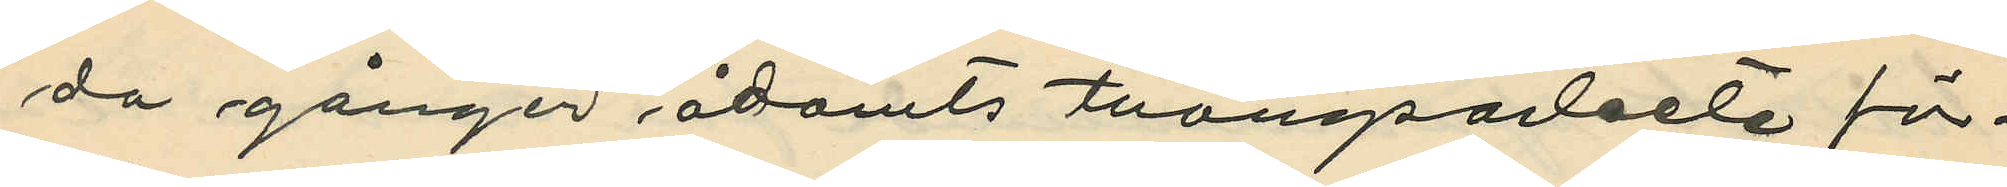da gånger ådömts tvångsarbete för
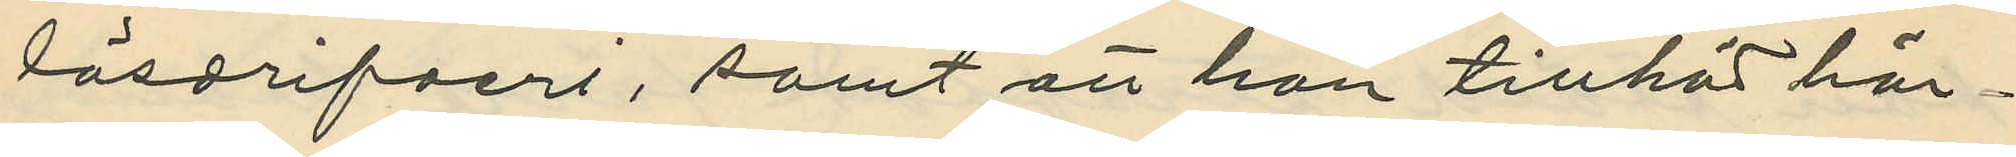lösdrifveri, samt att han tillhör här¬
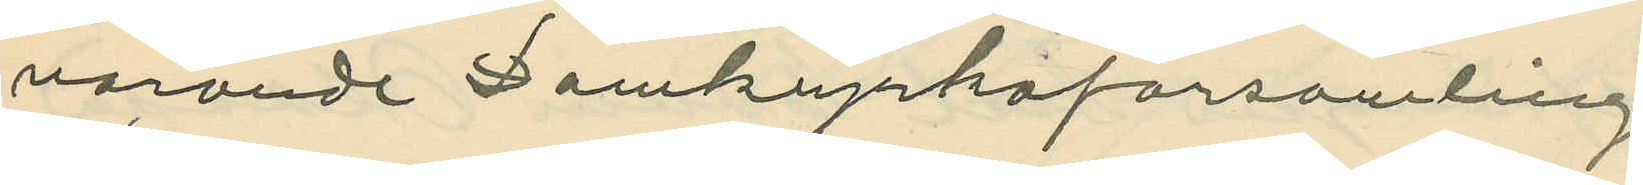varande Domkyrkoförsamling
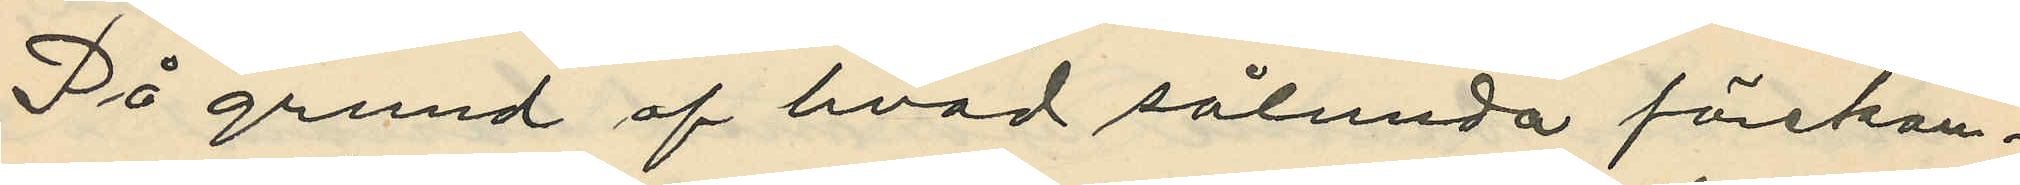På grund af hvad sålunda förekom¬
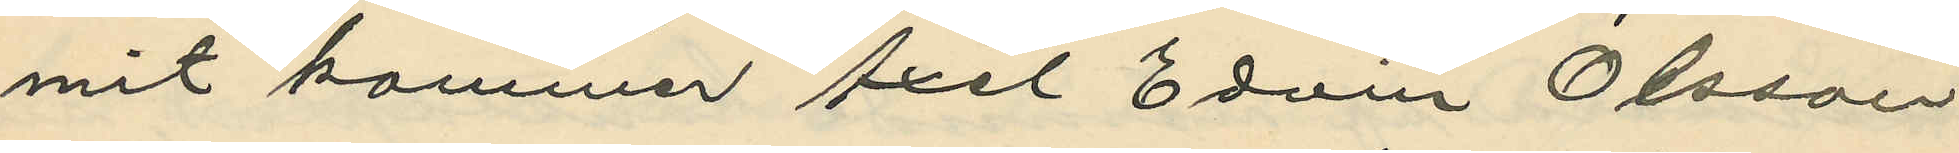mit kommer Axel Edvin Olsson
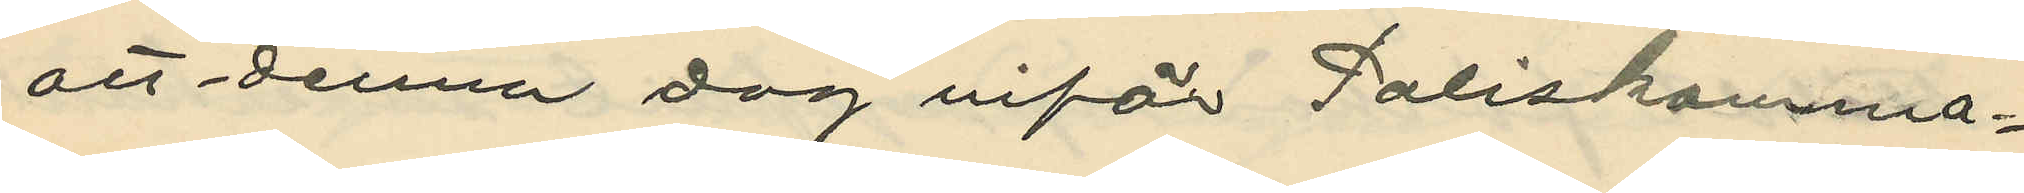att denna dag iför Poliskamma¬
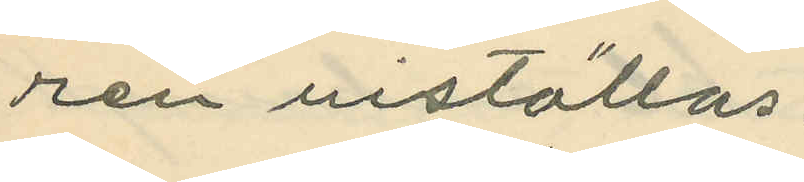ren inställas:
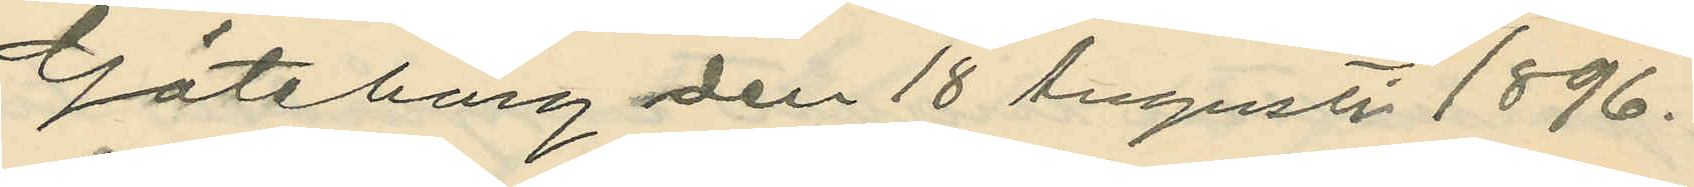Göteborg den 18 Augusti 1896.
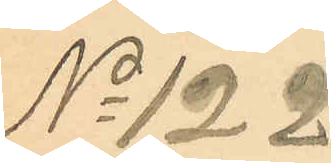No 122
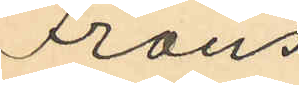Frans
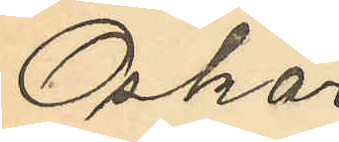Oskar
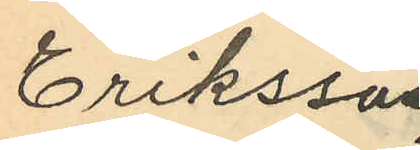Eriksson
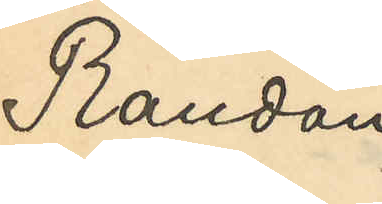Randau
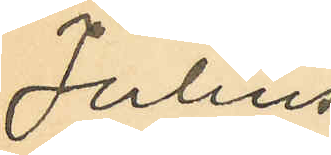Julius
